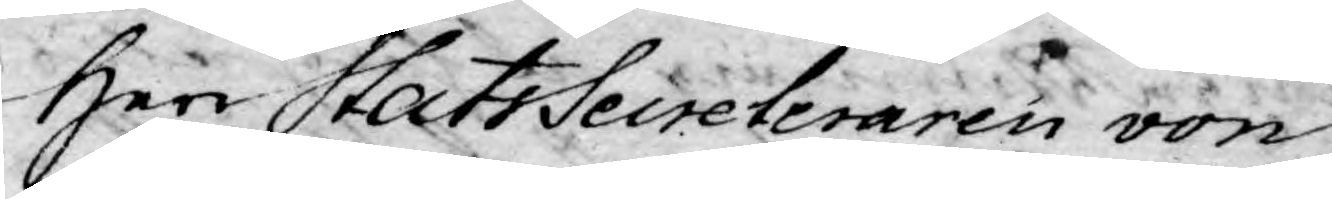Herr StatsSecreteraren von
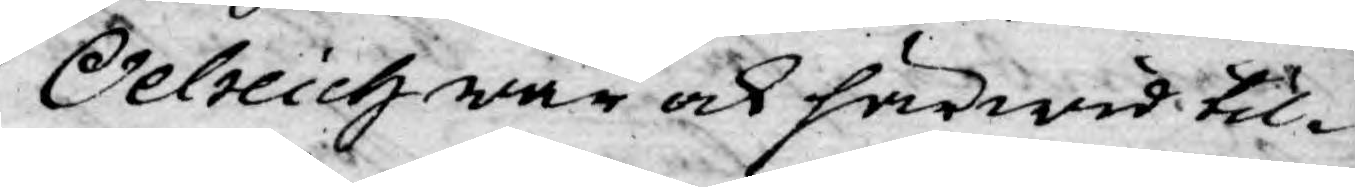Oelreich war ock härwid til¬
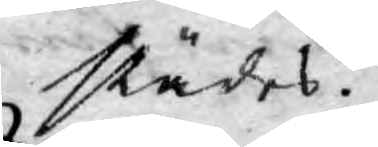städes.
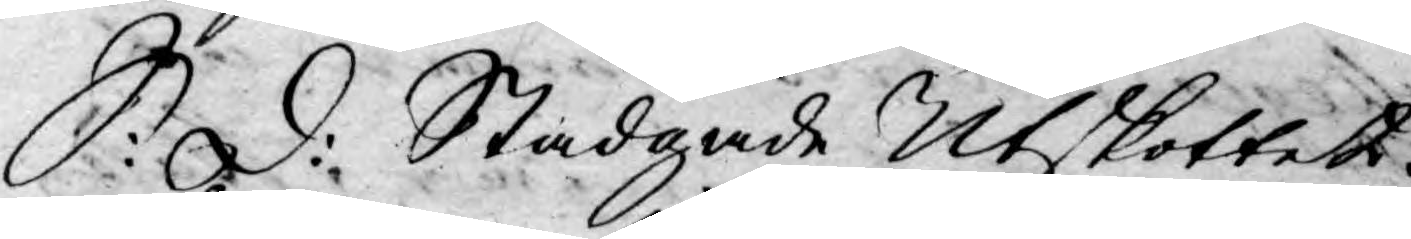S: d: Stadgade Utskottet
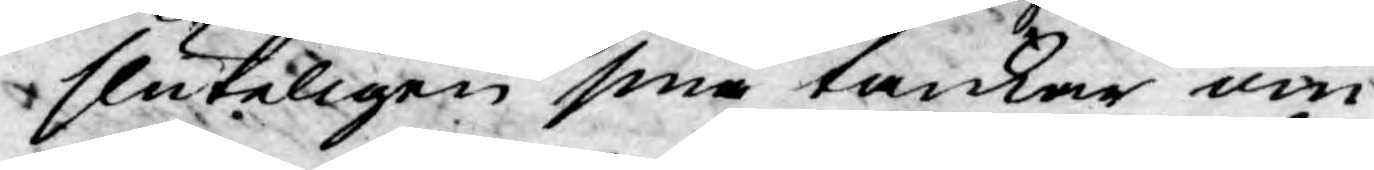sluteligen sina tankar om
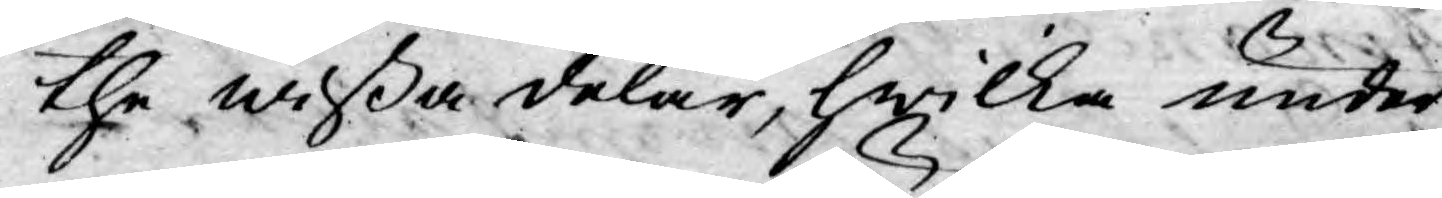the wißa delar, hwilka under
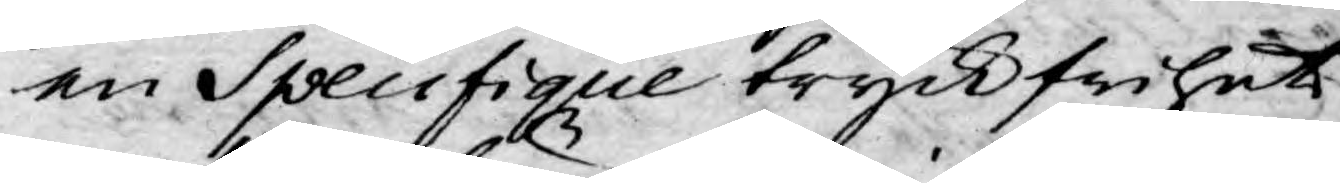en Specifique tryckfrihet
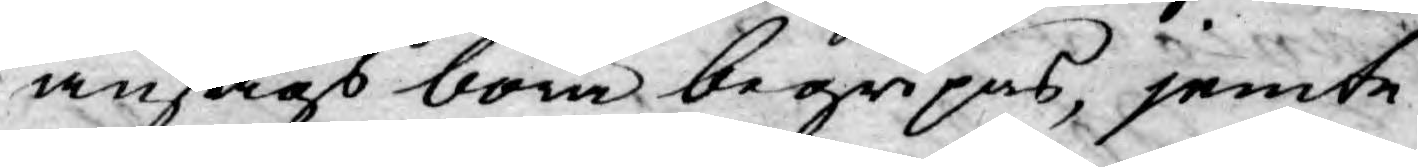ansågs böra begripas, jemte
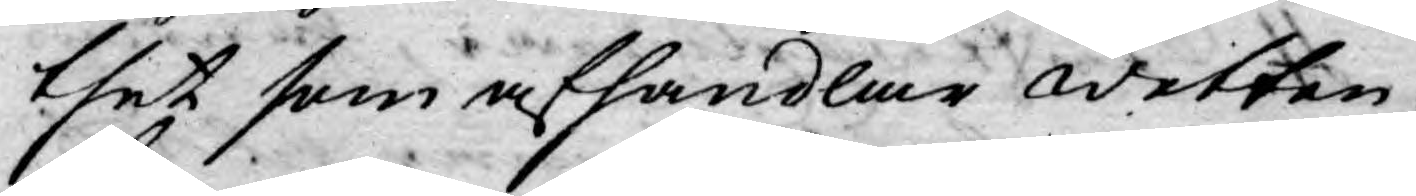thet som afhandlar wetten¬
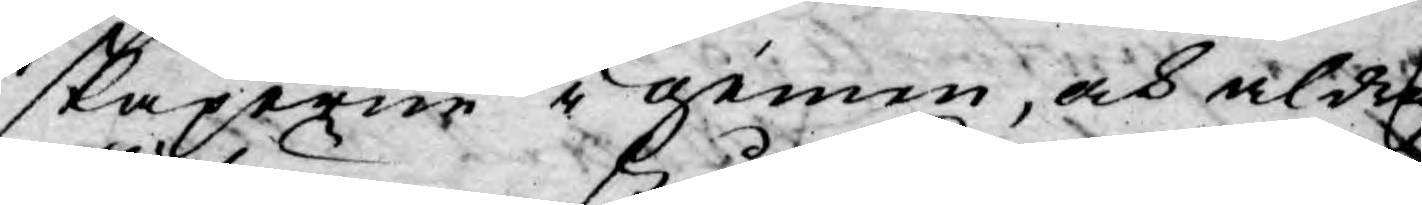skaperne i gemen, och aldrig
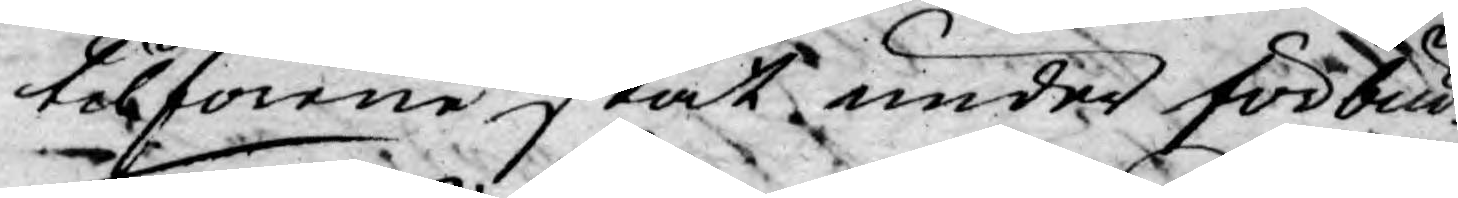tilförene ståt under förbud.
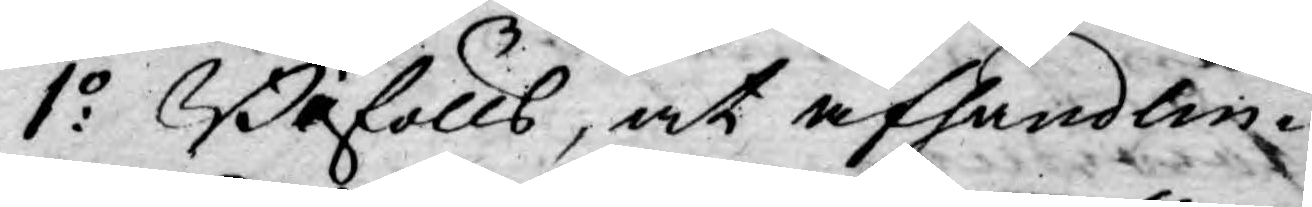1:o Bifölls, at afhandlin¬
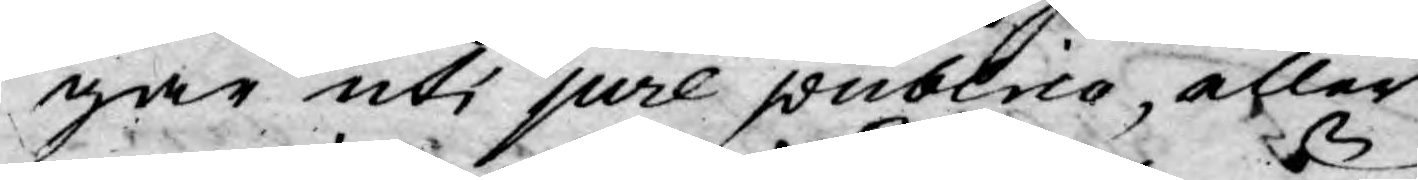gar uti jure publico, eller
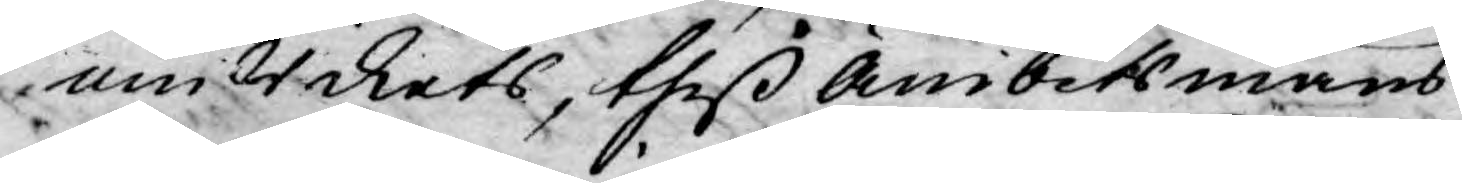om Rikets, theß Ämbetsmäns
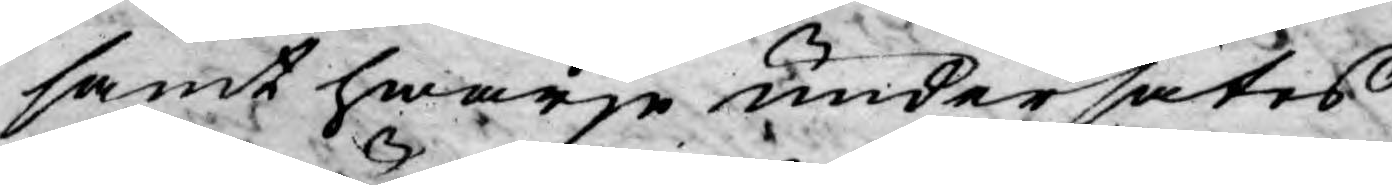samt hwarje undersåtes
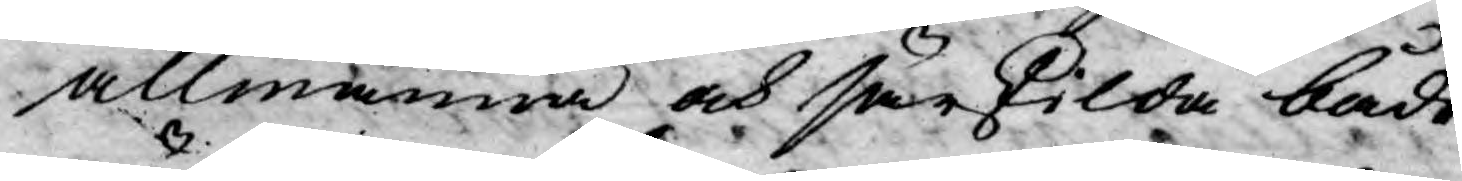allmänna och särkilda både
